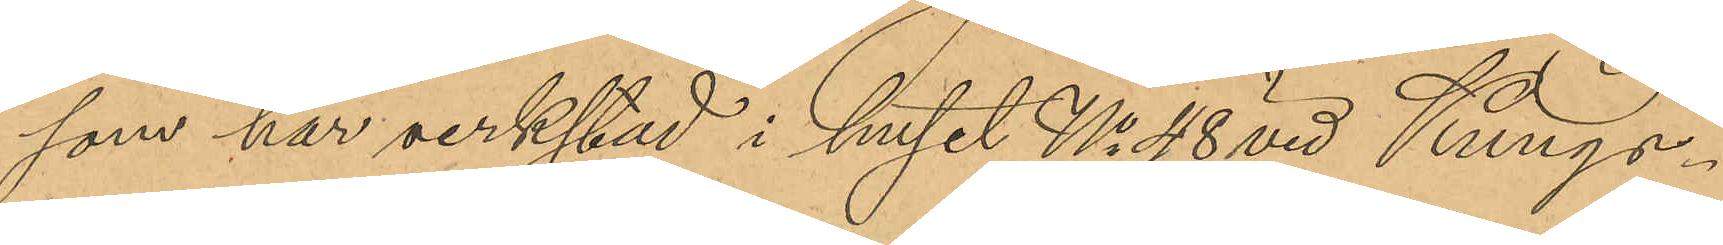som har verkstad i huset No 48 vid Kungs¬
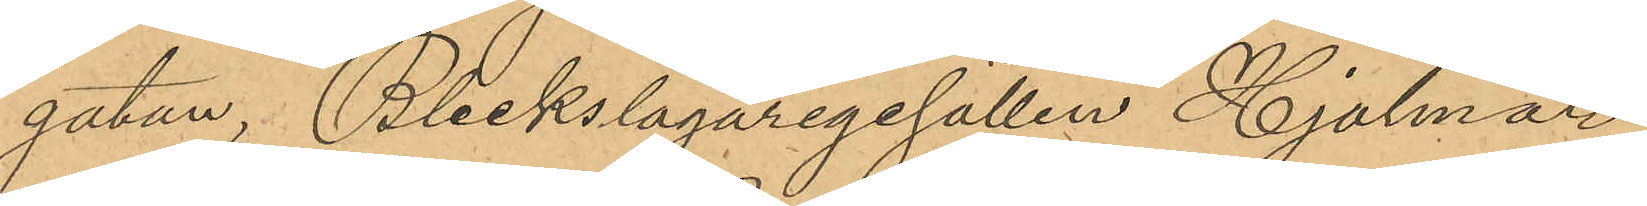gatan, Bleckslagaregesällen Hjalmar
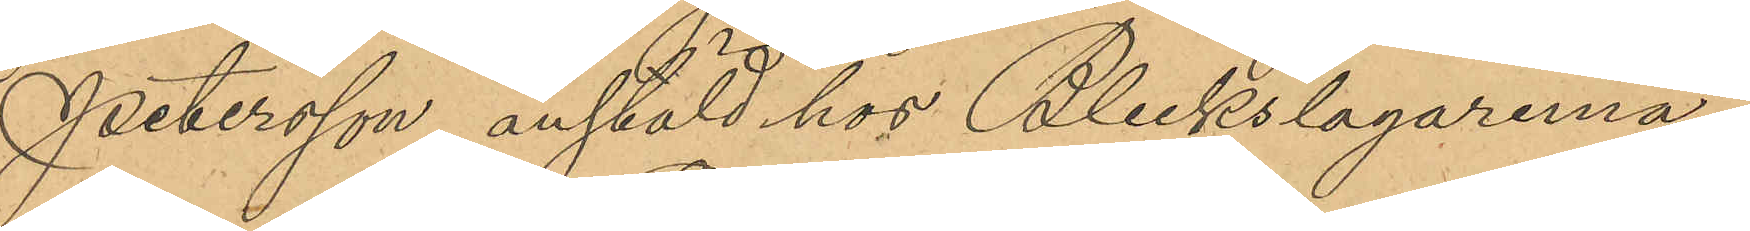Petersson, anstäld hos Bleckslagaremä¬
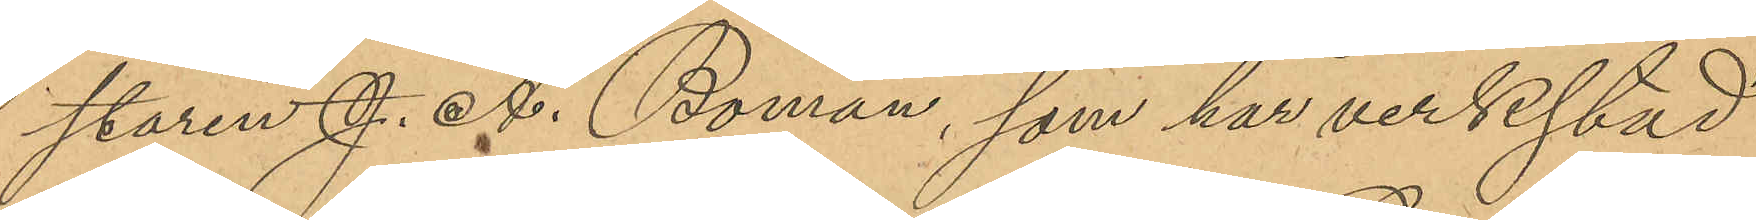staren J. A. Boman, som har verkstad
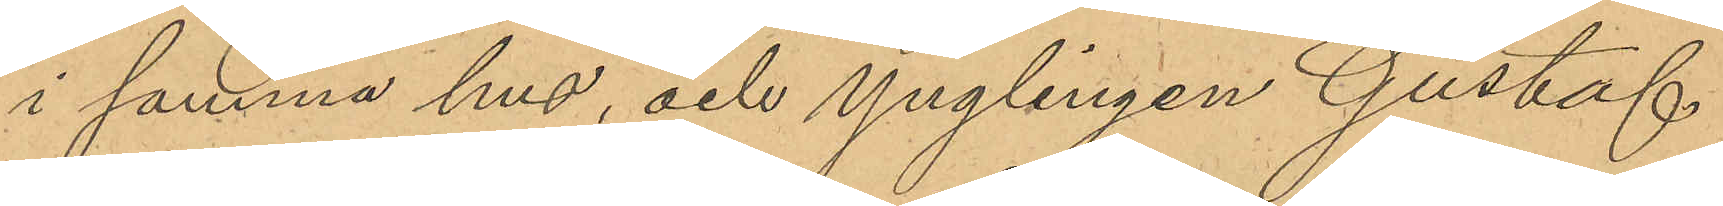i samma hus, och ynglingen Gustaf
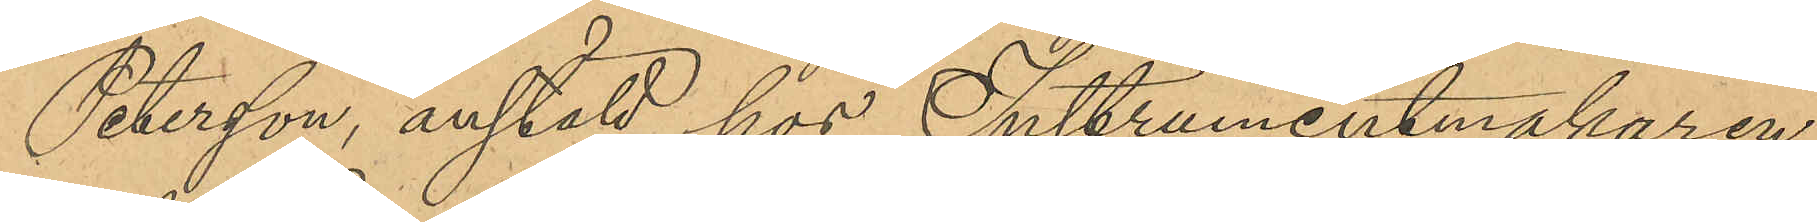Petersson, anstäld hos Instrumentmakaren
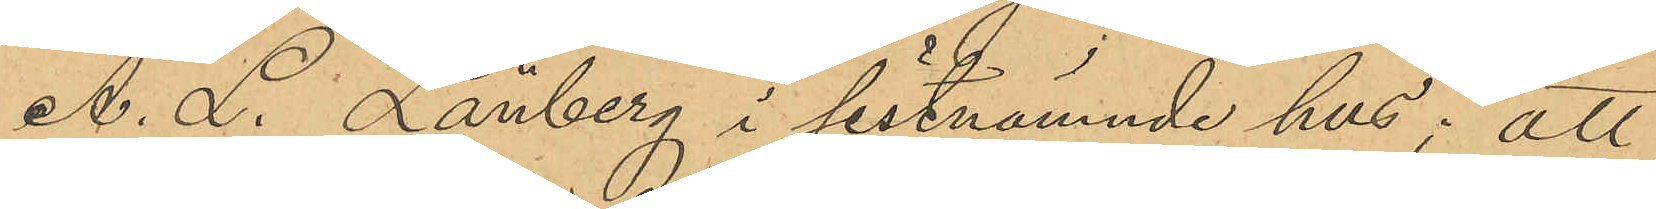A. L. Länberg i sistnämnde hus; att
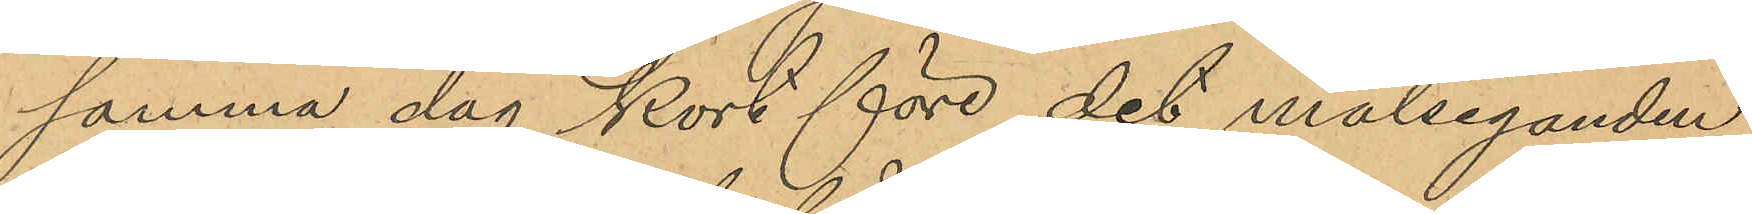samma dag kort före det målseganden
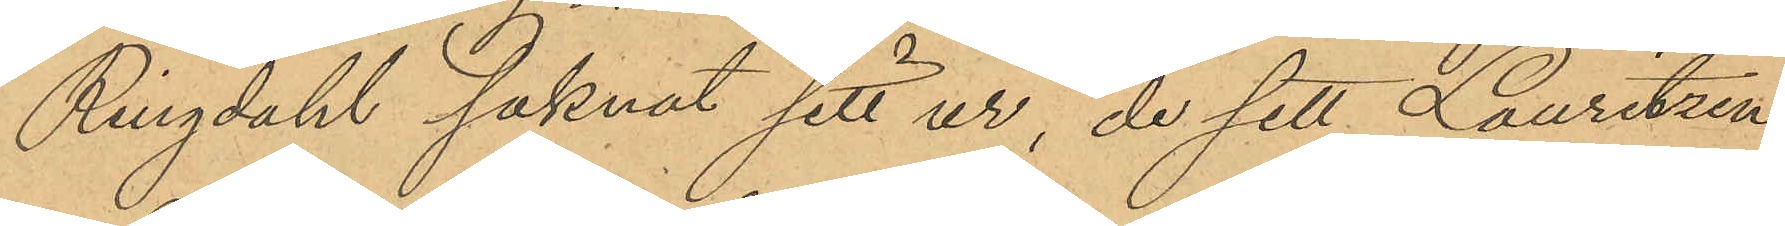Ringdahl saknat sitt ur, de sett Lauritzen
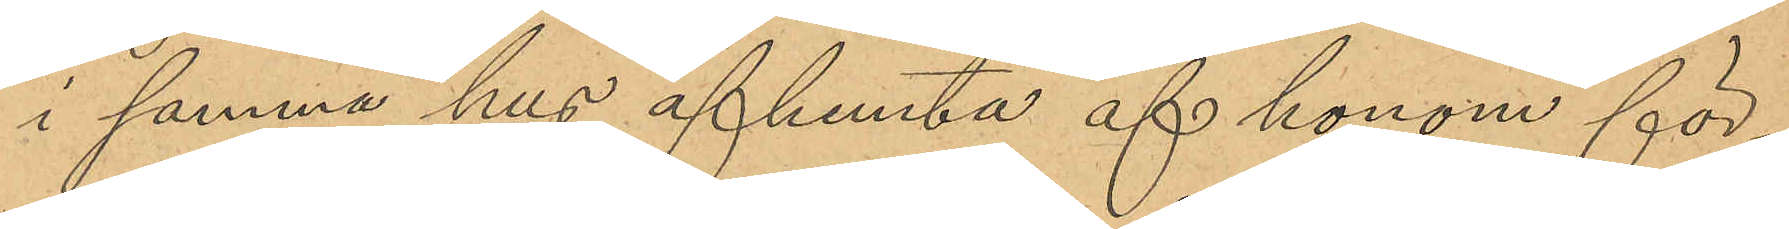i samma hus afhemta af honom för¬
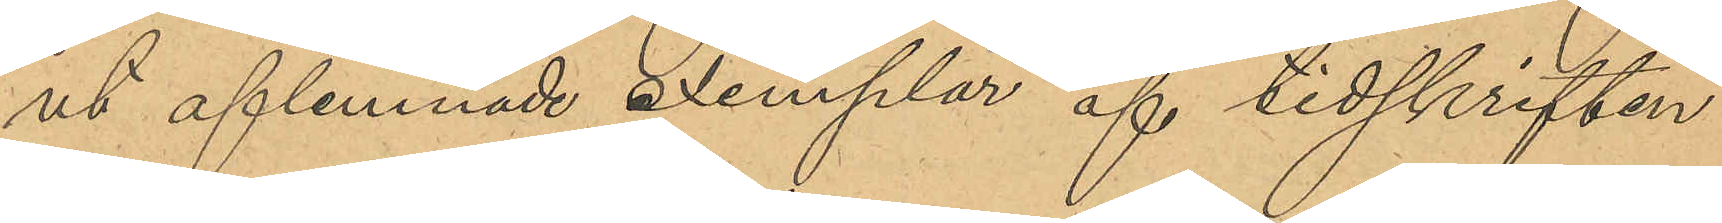ut aflemnade exemplar af tidskriften
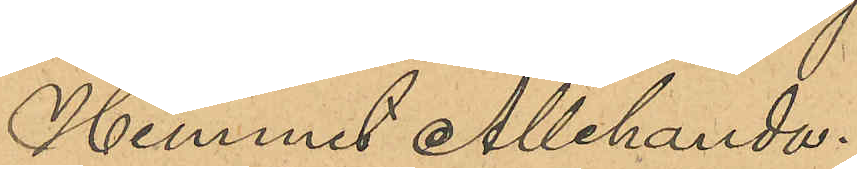Hemmet Allehanda.
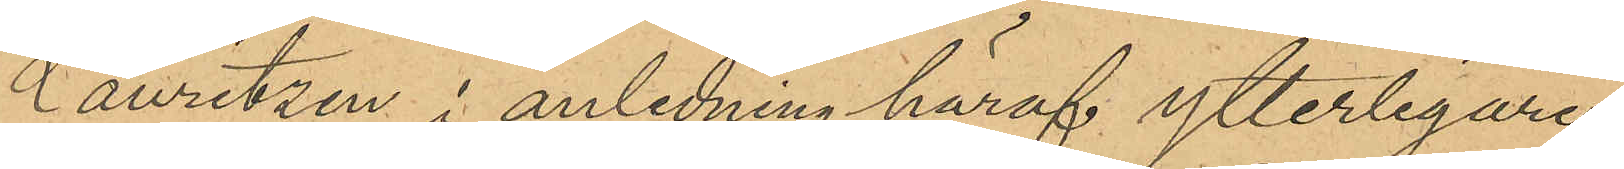Lauritzen i anledning häraf ytterligare
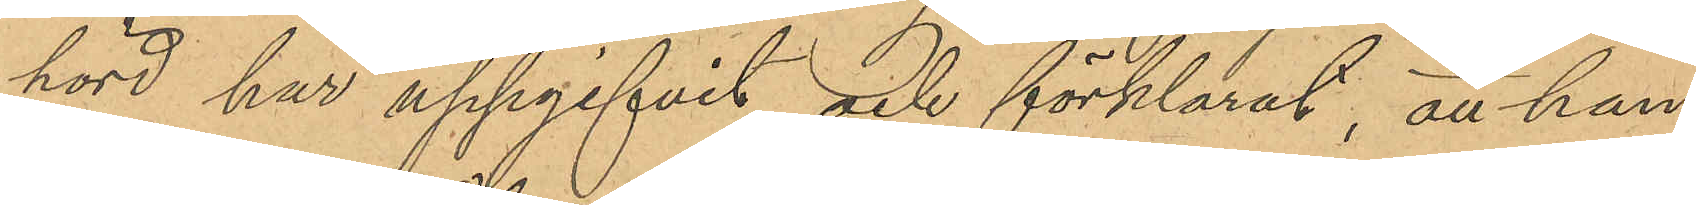hörd har uppgifvit och förklarat, att han,
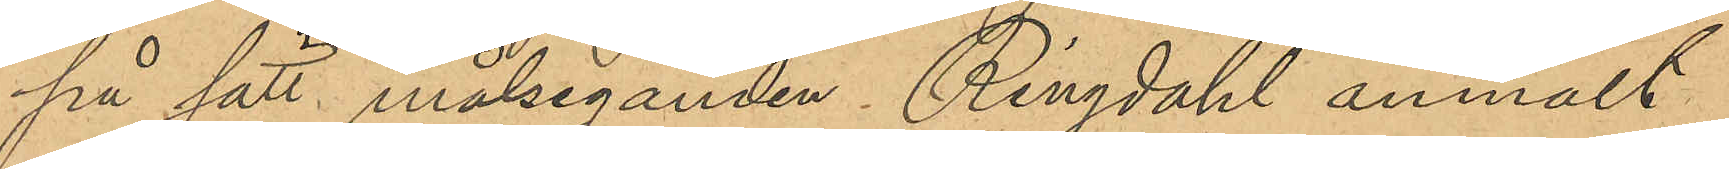på sätt målseganden Ringdahl anmält,
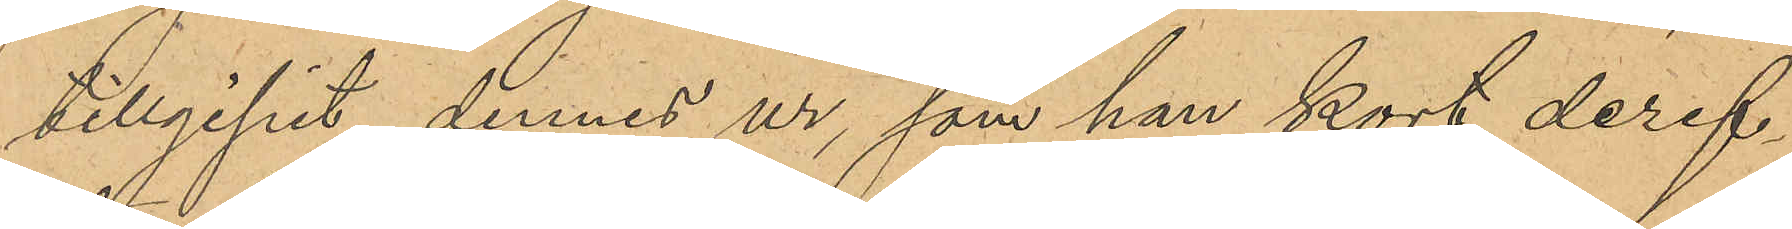tillgipit dennes ur, som han kort deref¬
